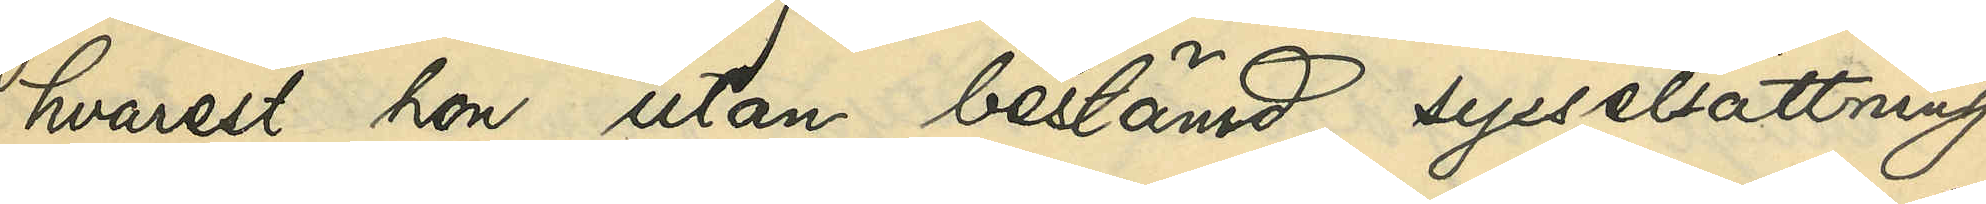hvarest hon utan bestämd sysselsättning
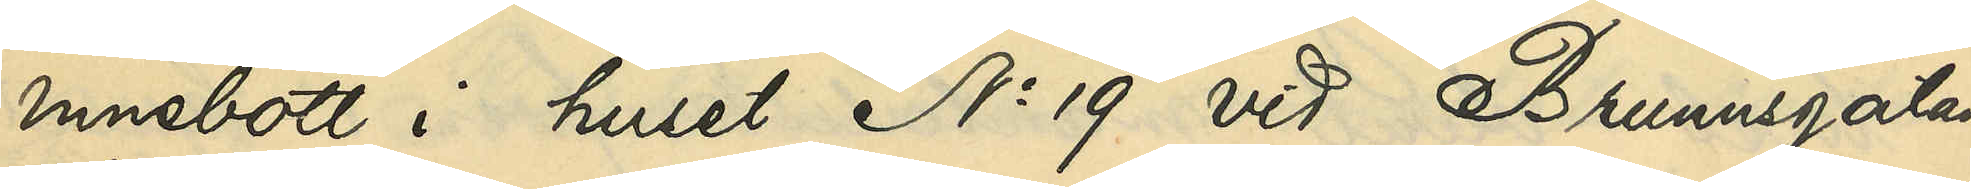innebott i huset No 19 vid Brunnsgatan
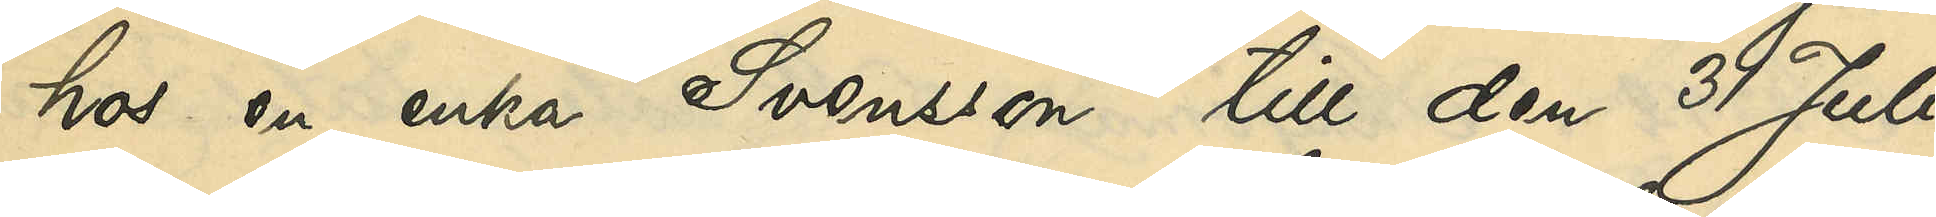hos en enka Svensson till den 31 Juli
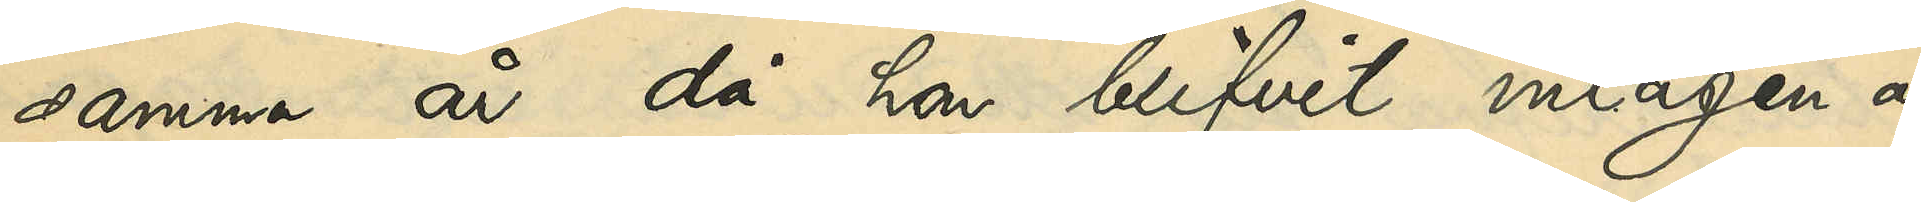samma år då hon blifvit intagen å
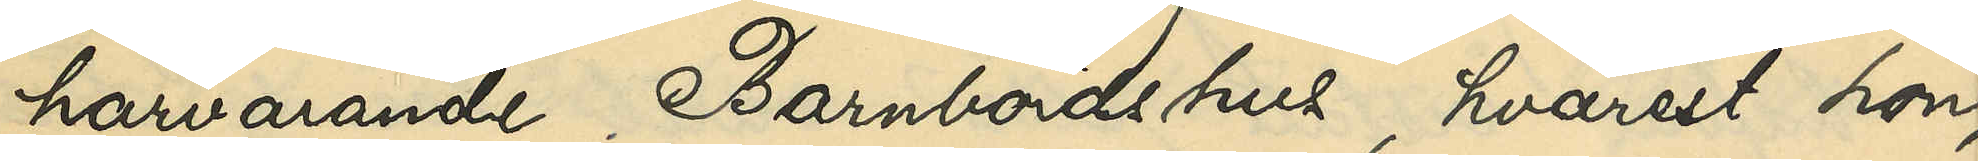härvarande Barnbördshus, hvarest hon,
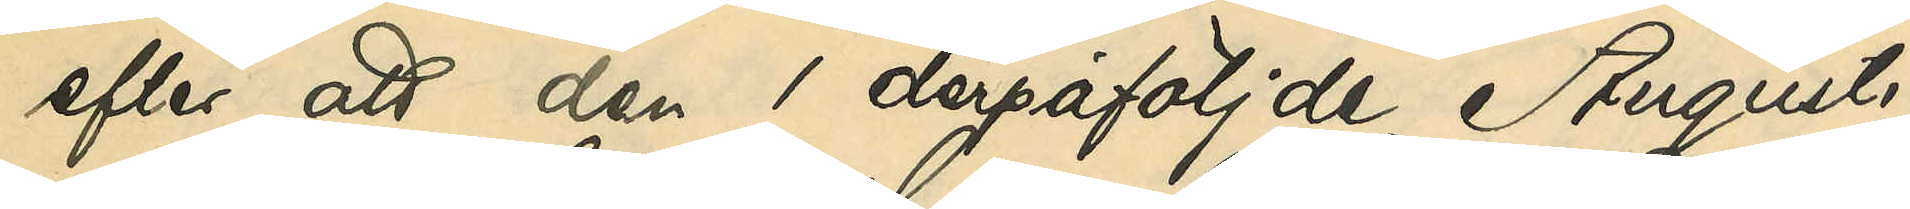efter att den 1 derpåföljde Augusti
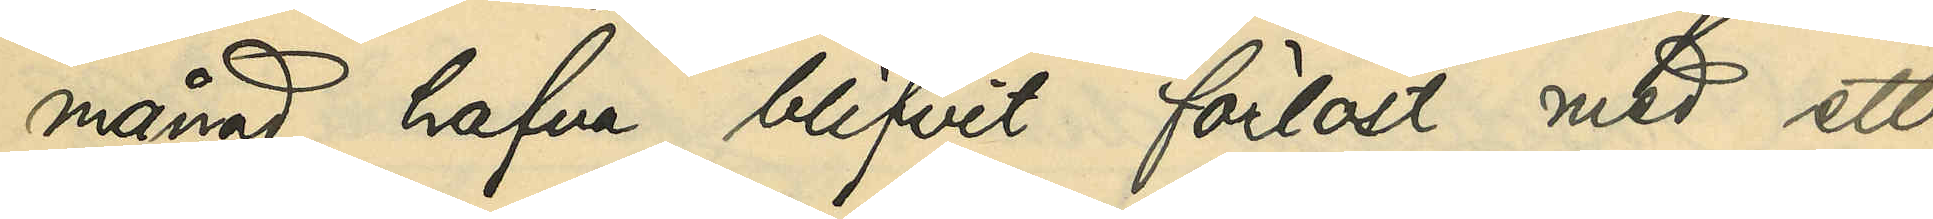månad blifvit förlöst med ett
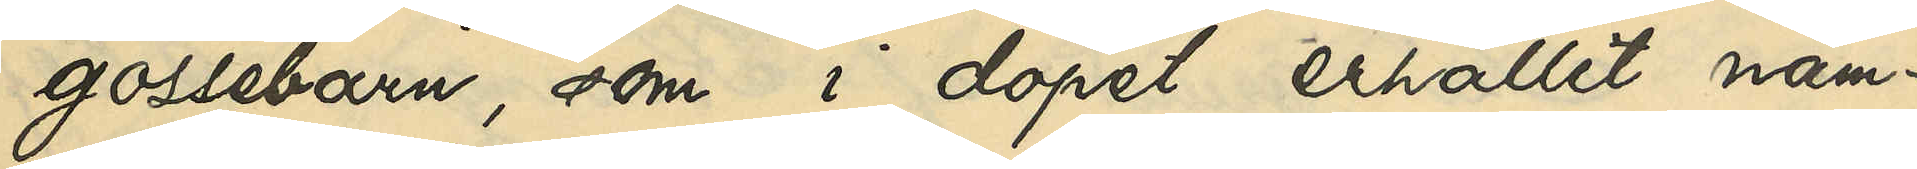gossebarn, som i dopet erhållit nam¬
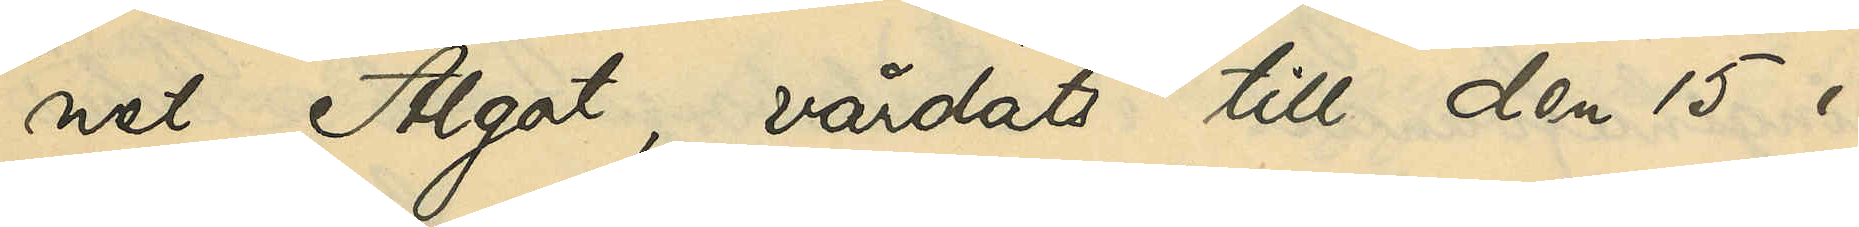net Algot, vårdats till den 15 i
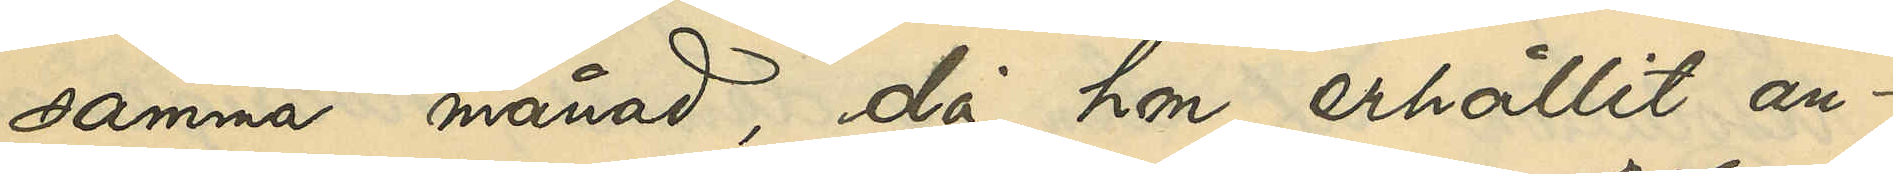samma månad, då hon erhållit an¬
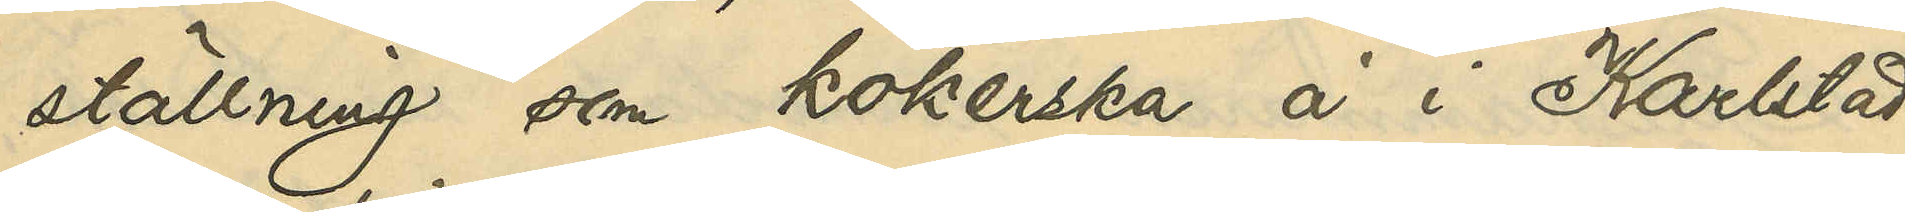ställning som kokerska å i Karlstad
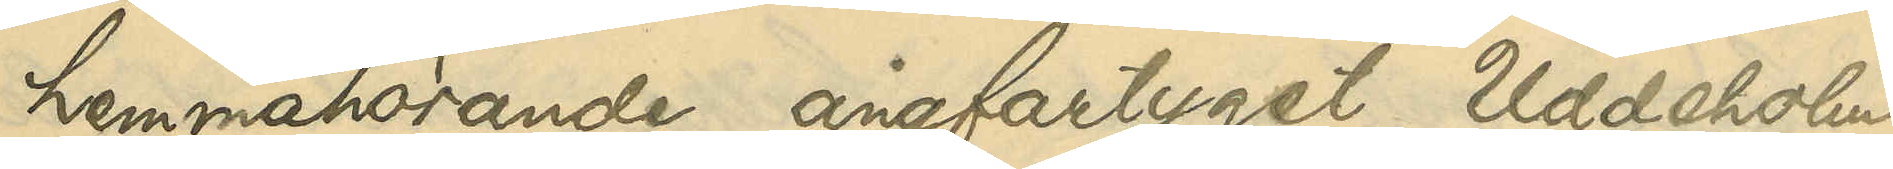hemmahörande ångfartyget Uddeholm,
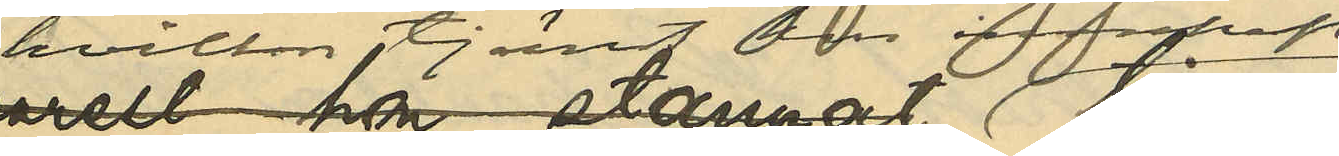hvilken tjenst hon innehaft
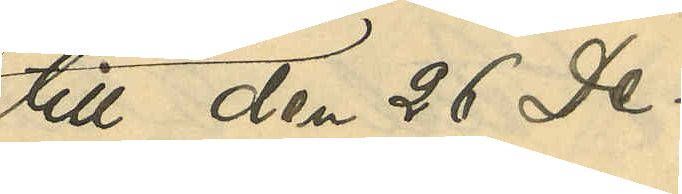till den 26 De¬
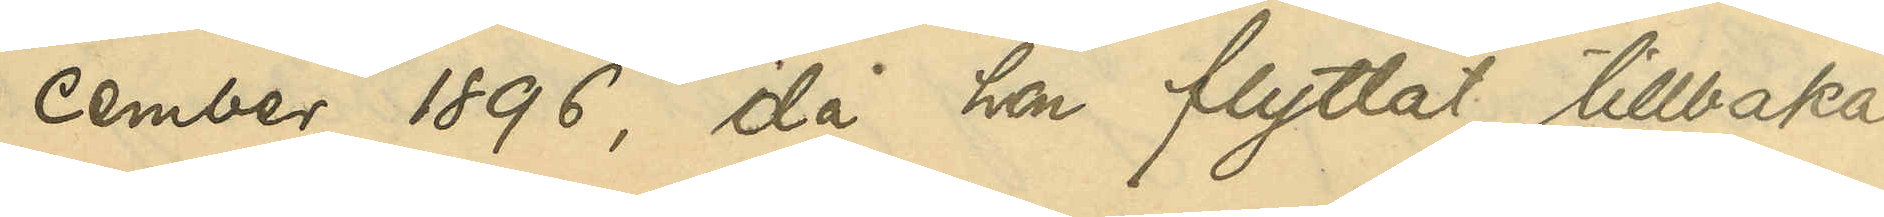cember 1896, då hon flyttat tillbaka
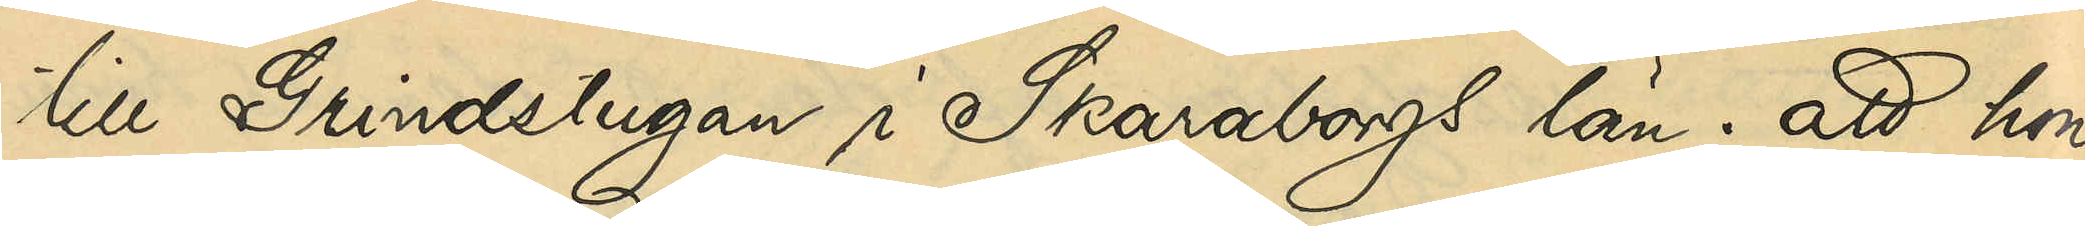till Grindstugan i Skaraborgs län; att hon
